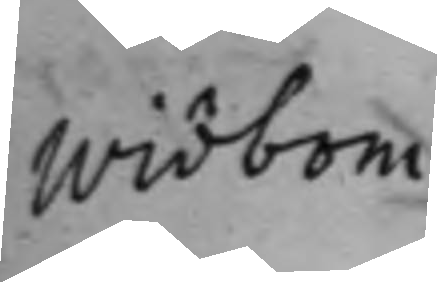Widbom
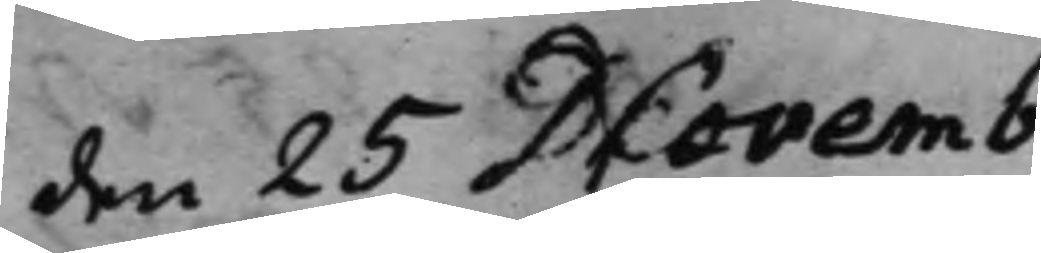den 25 Novemb.
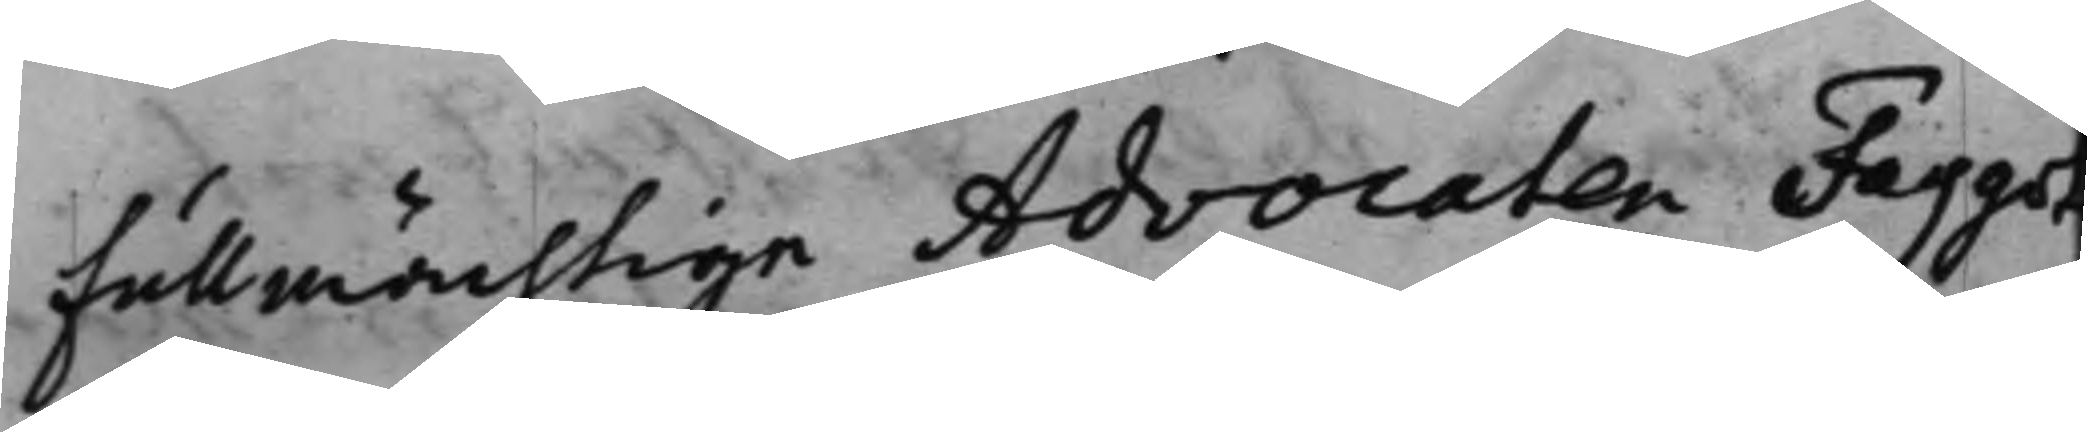fullmächtige Advocaten Faggot
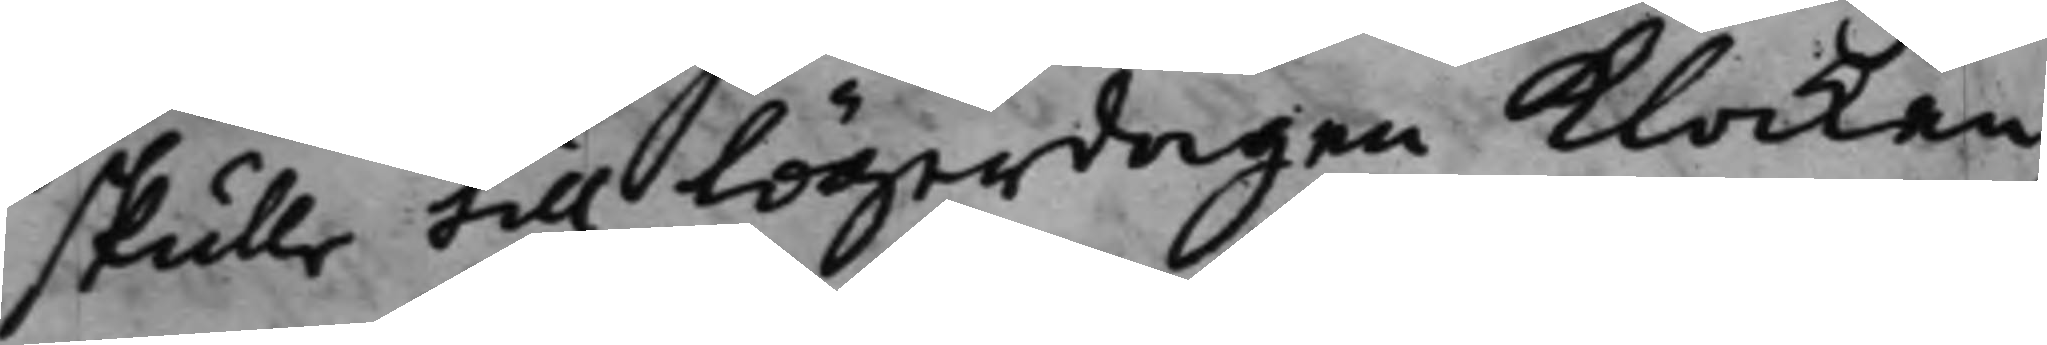skulle till lögerdagen klockan
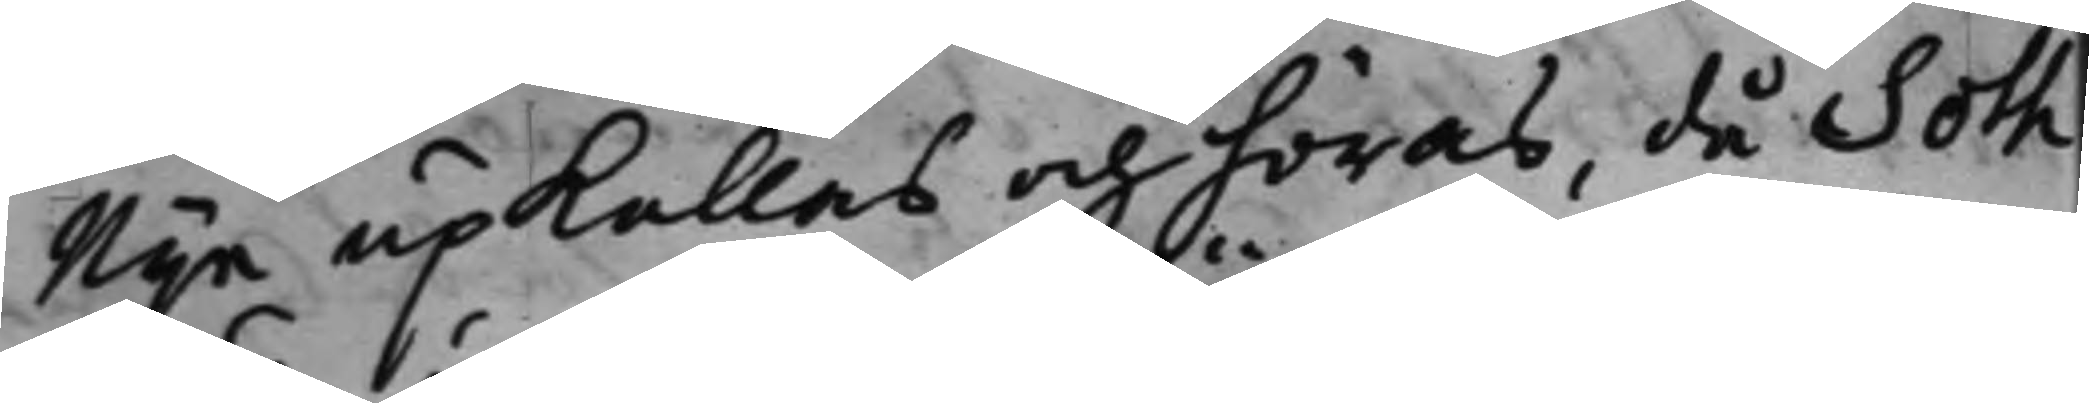Nije upkallas och höras, då Soth
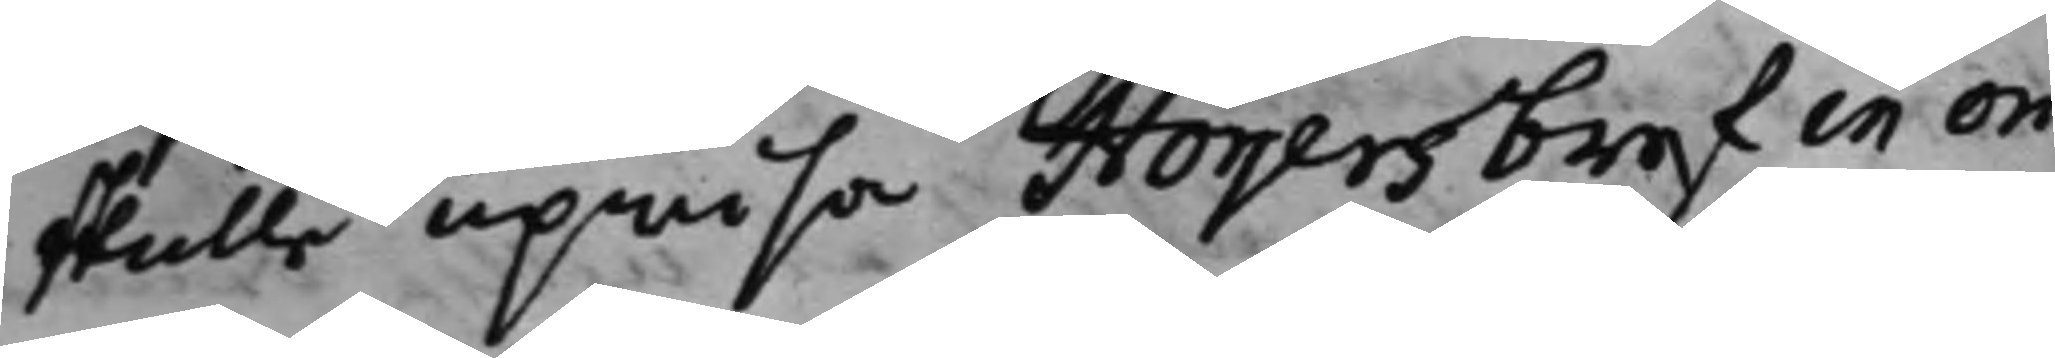skulle upwisa Höijers bref in ori¬
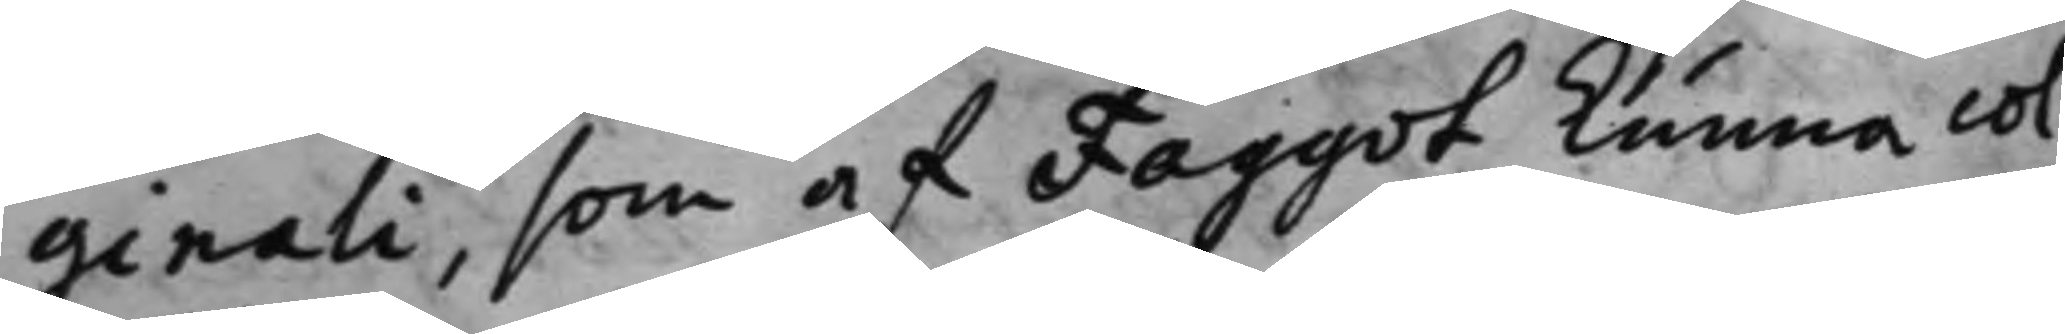ginali, som af Faggot kunna col¬
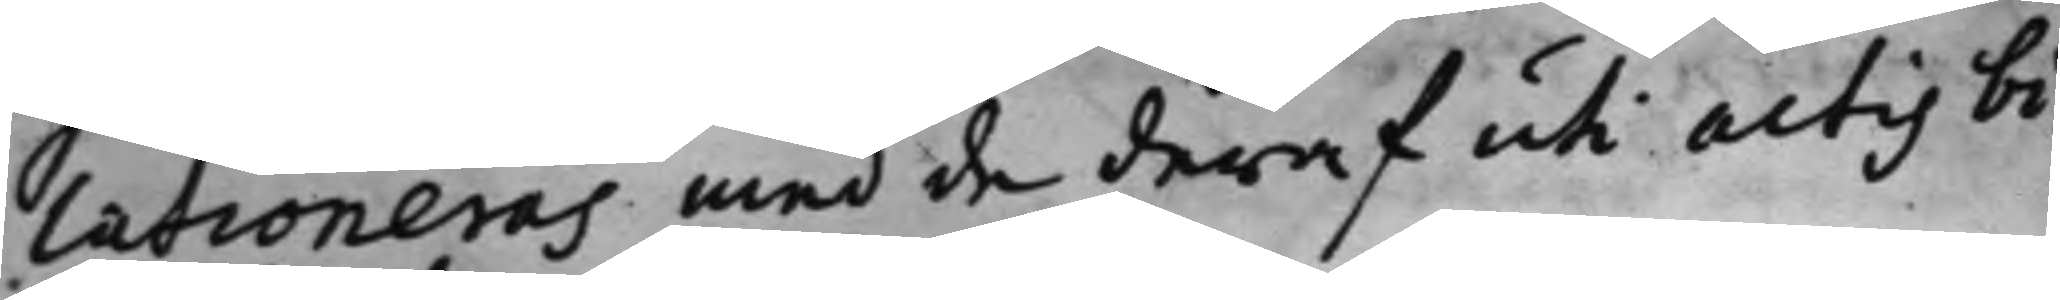lationeras med de deraf uti actis bi¬
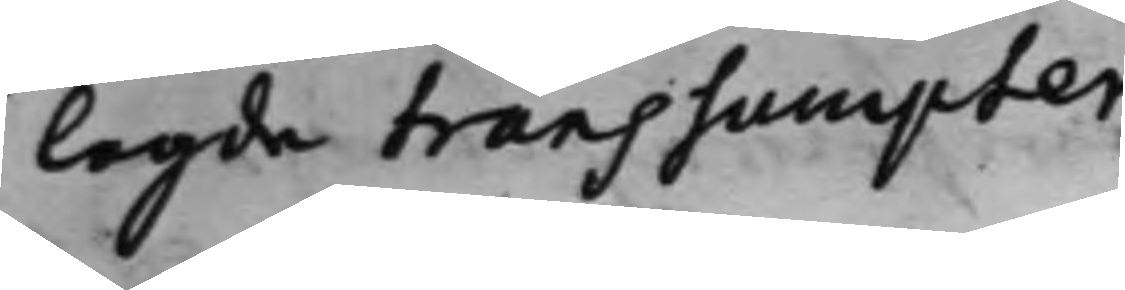lagda transsumpter.
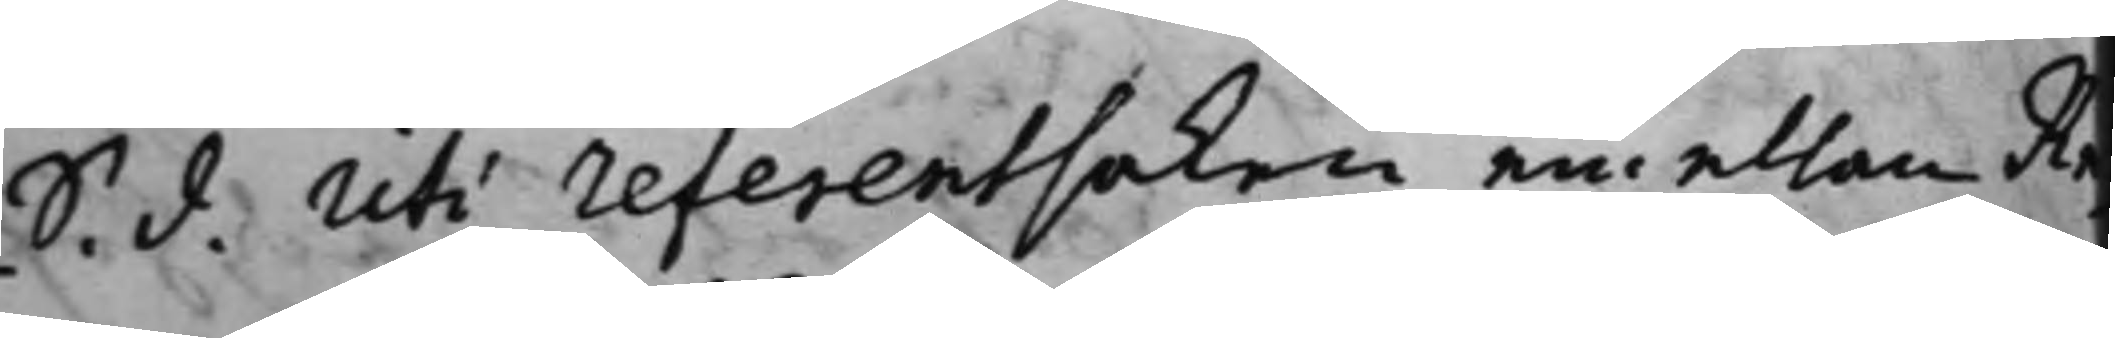S. d. Uti referentsaken emellan Re¬
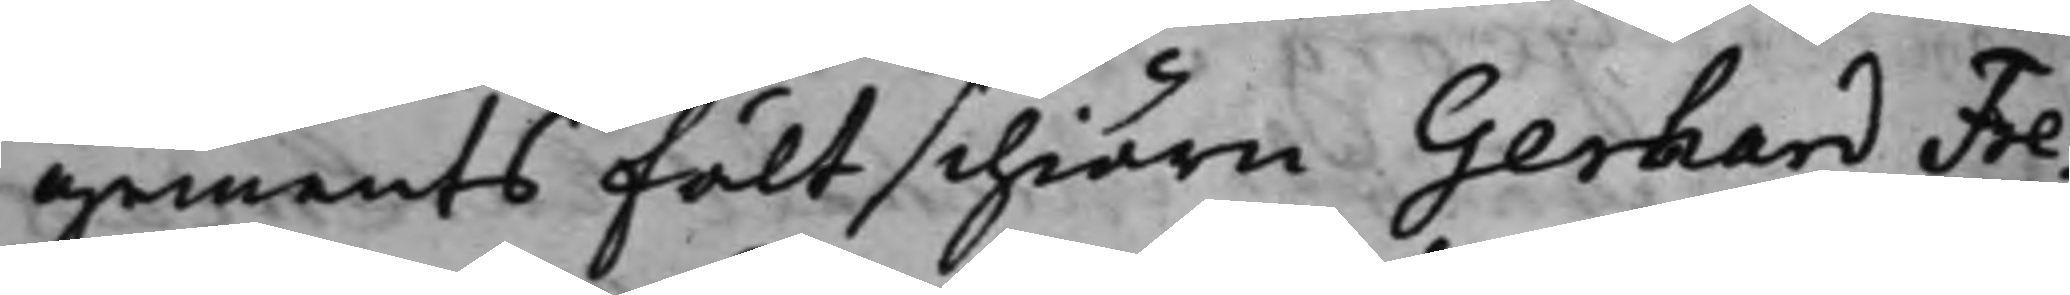gements Fältschiärn Gerhard Fre¬
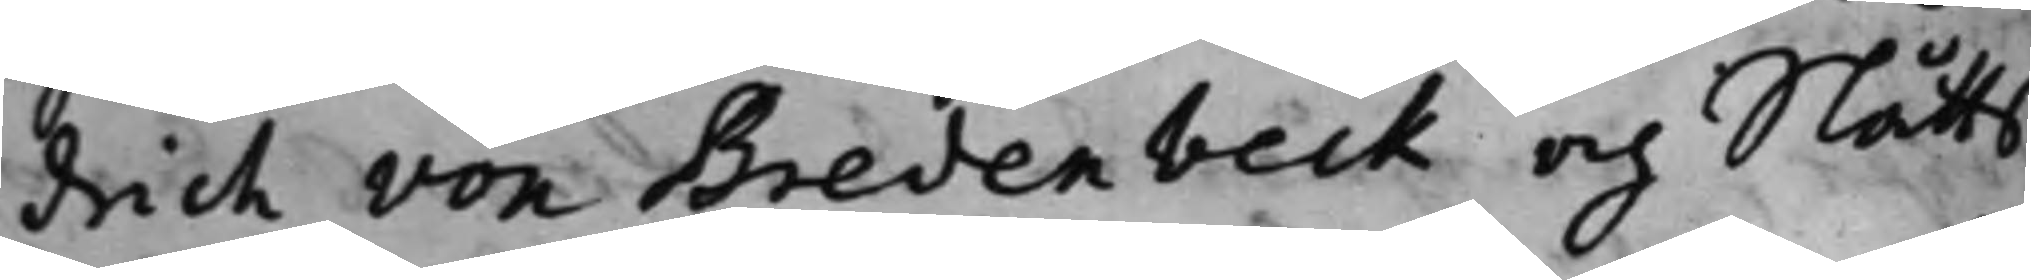drich von Bredenbeck och Slåtts¬
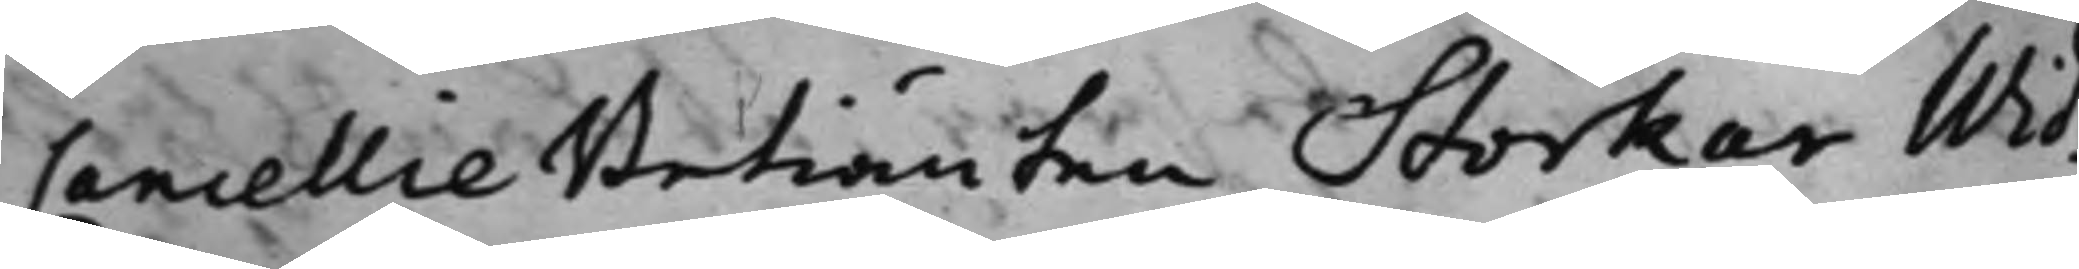Cancellie Betiänten Storkar Wid¬
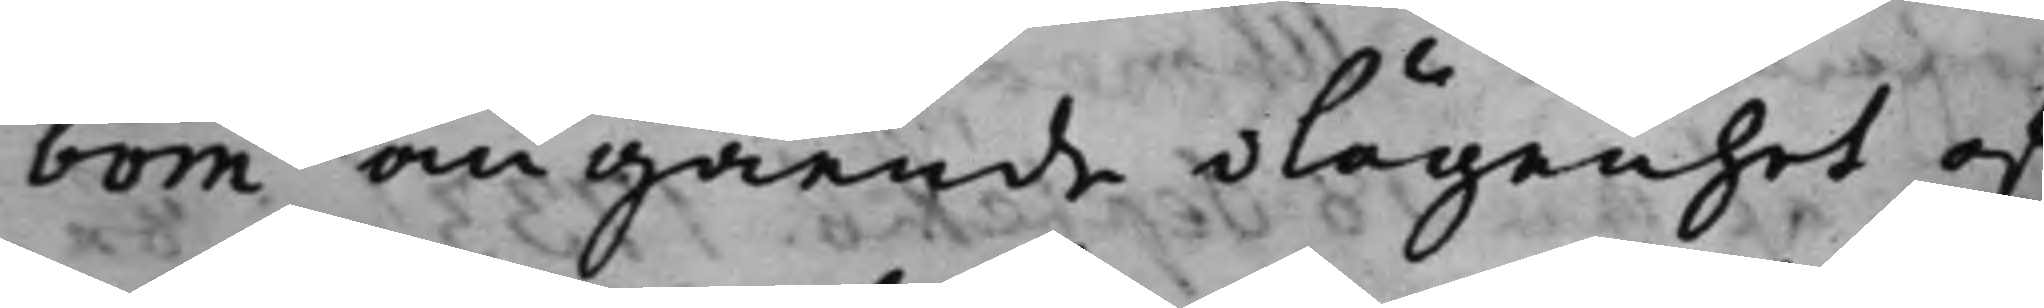bom angående olägenhet af
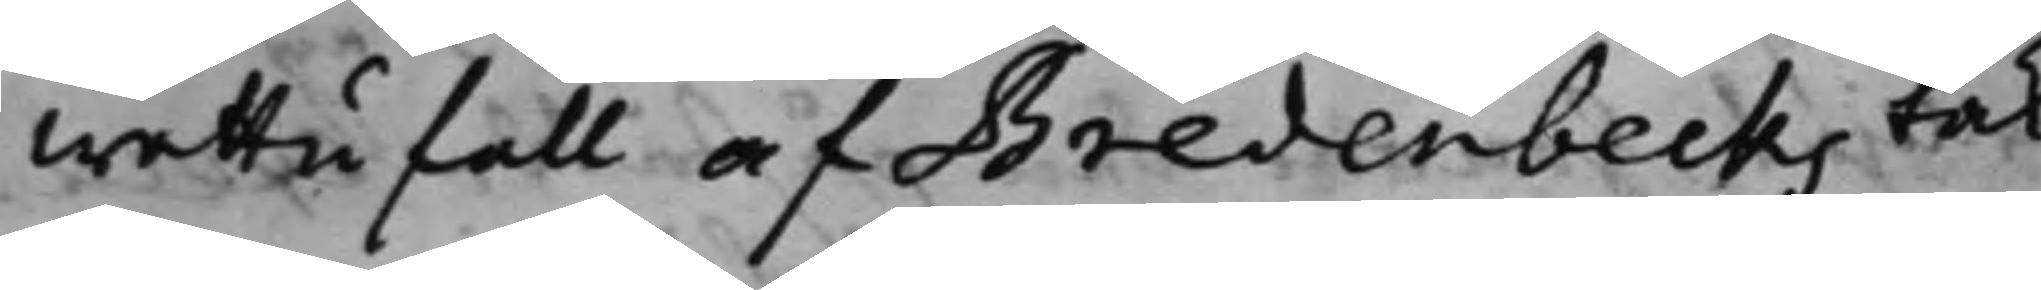wattufall af Bredenbecks tak¬
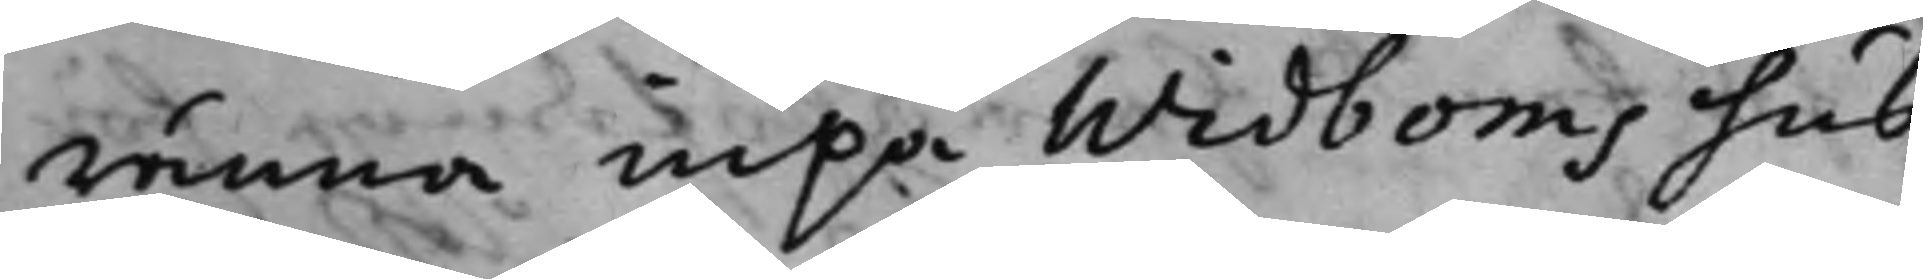ränna inpå Widboms hus,
